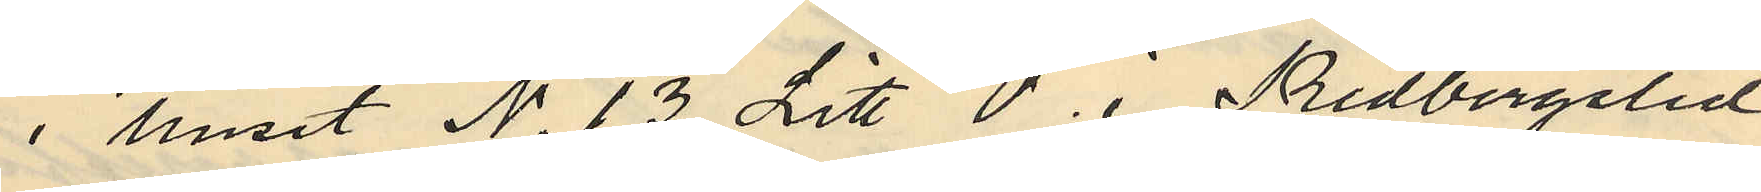i huset No 13 Litt O i Redbergslid
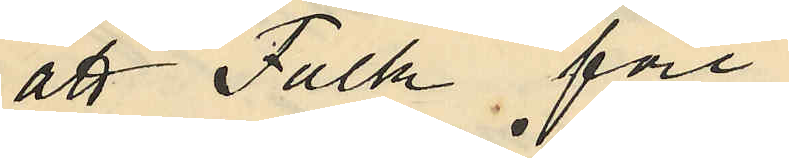att Falk före
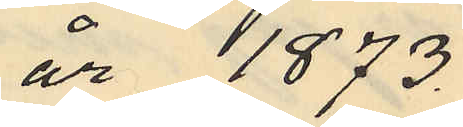år 1873
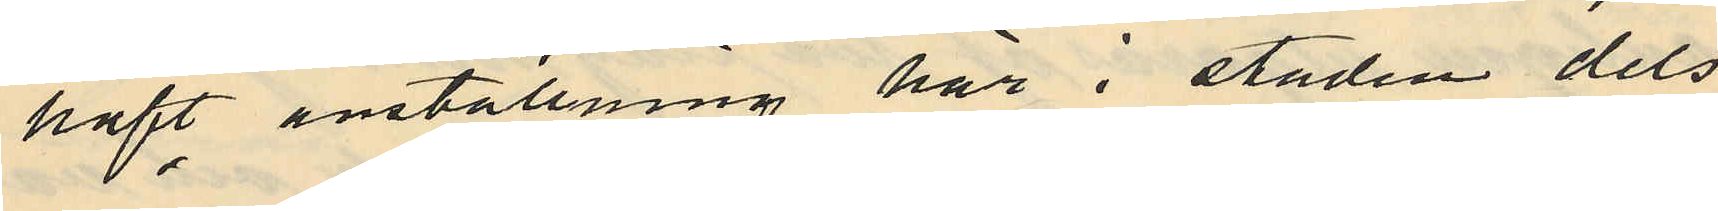haft anställning här i staden dels
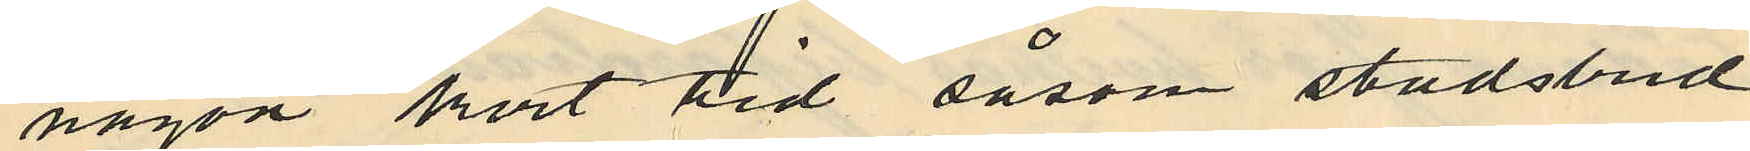någon kort tid såsom stadsbud
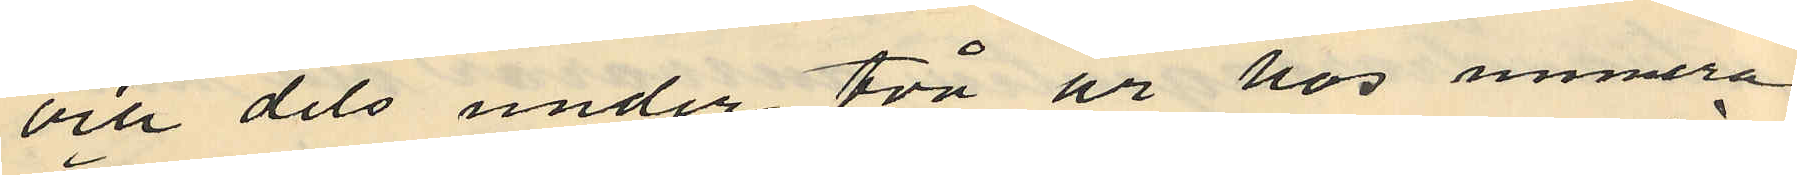och dels under två ur hos numera
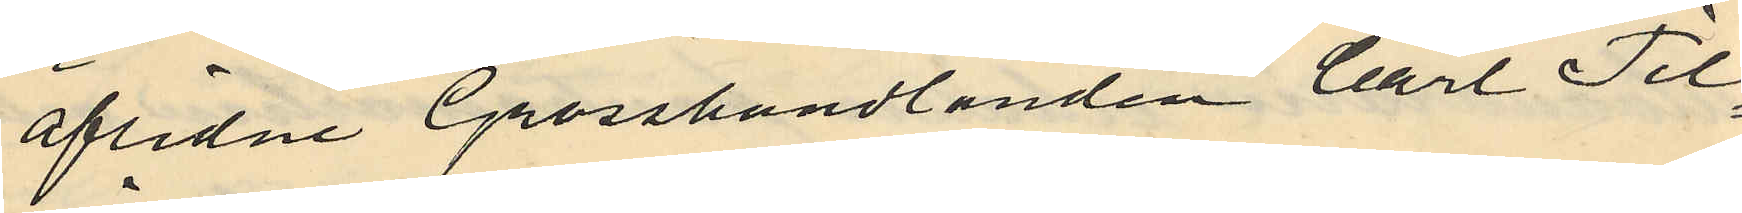aflidne Grosshandlanden Carl Til¬
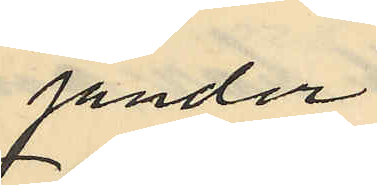jander
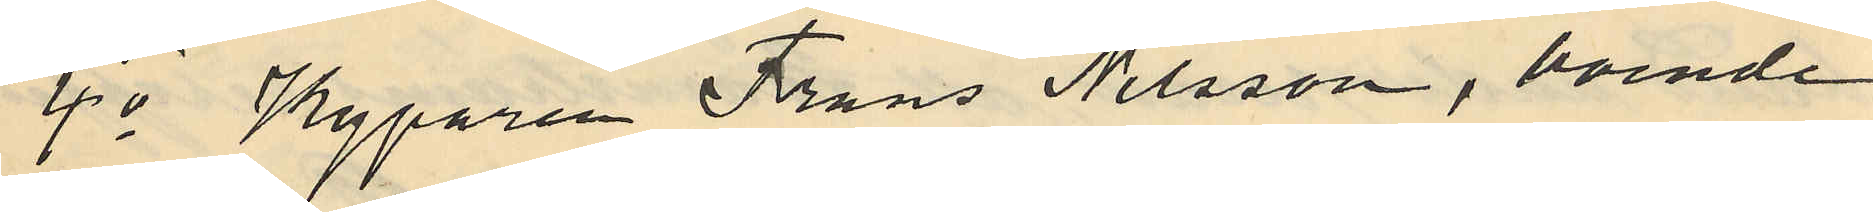4o Kyparen Frans Nilsson, boende
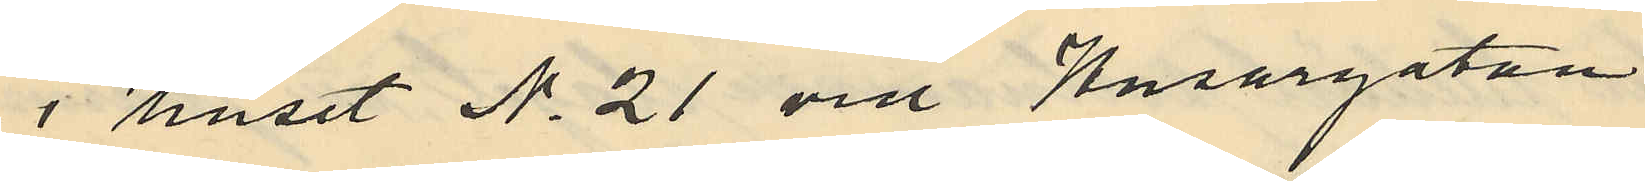i huset No 21 vid Husargatan
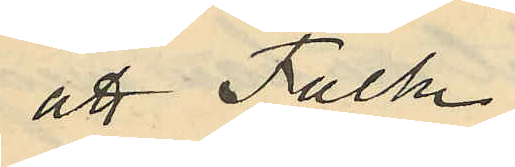att Falk
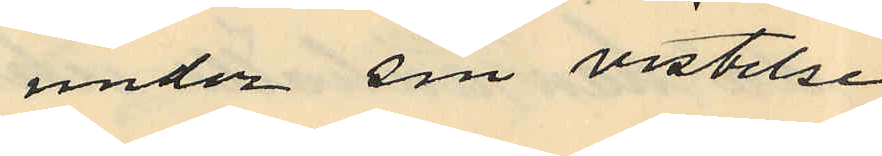under sin vistelse
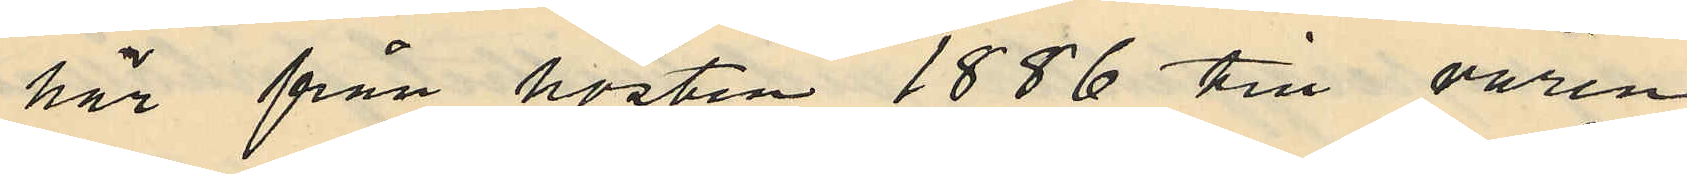här från hösten 1886 till våren
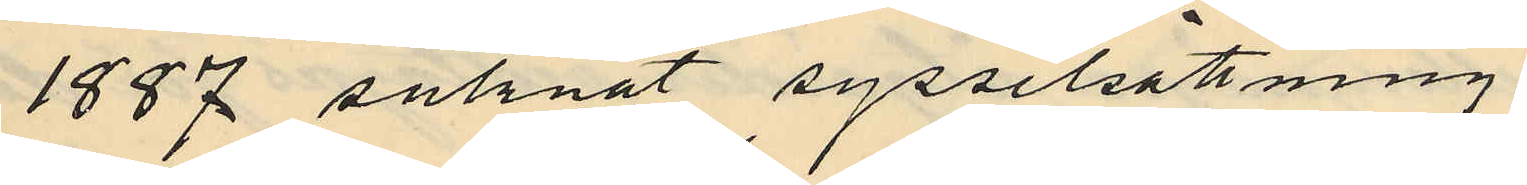1887 saknat sysselsättning
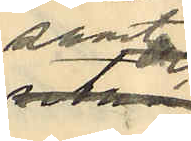samt
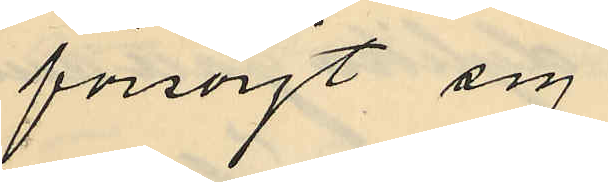försörjt sig
